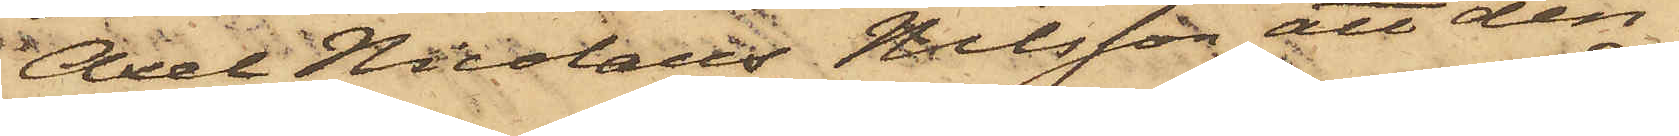Axel Nicolaus Nilsson, att den¬
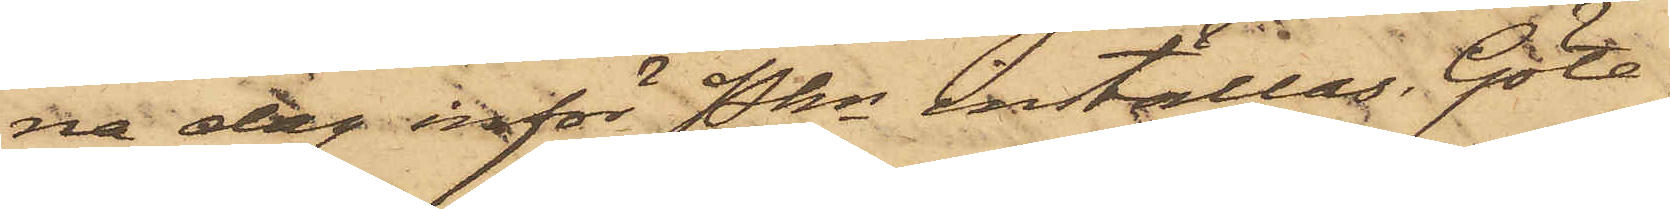na dag inför Pkn inställas. Göte¬
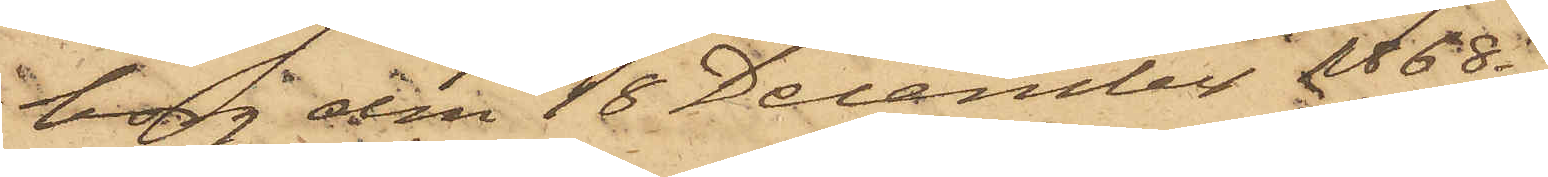borg den 18 December 1868.
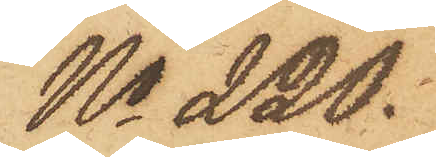No 220.
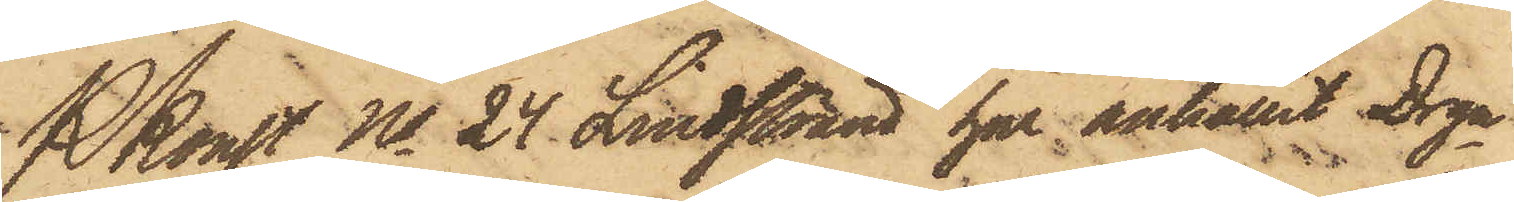Konst No 24 Lindstrand har anhållit Drgn
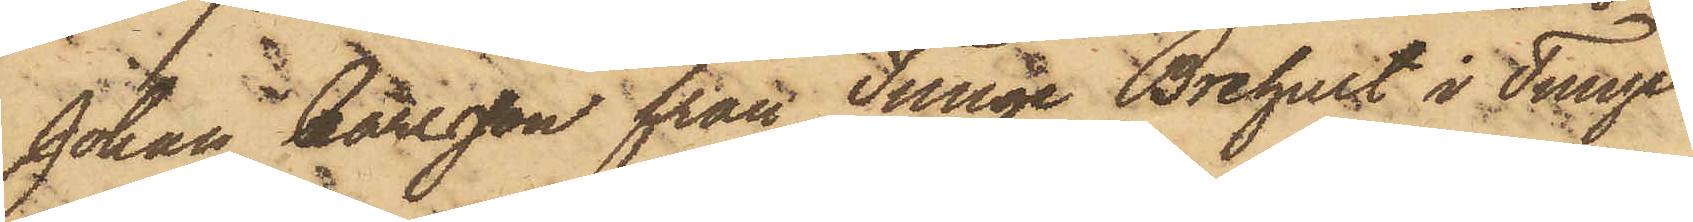Johan Carlsson från Tunge Brehult i Tunge
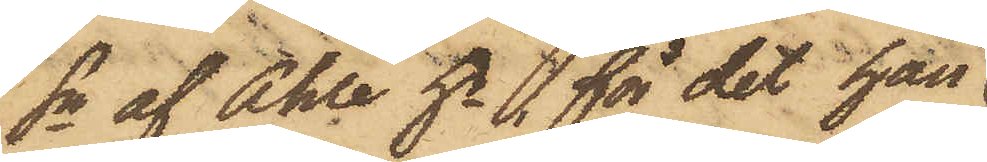Sn af Ahle hd, för det han
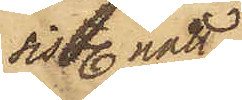sistl. natt
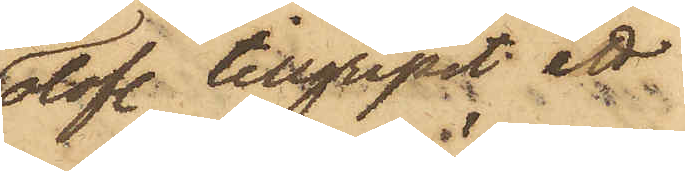olofl. tillgripit ett
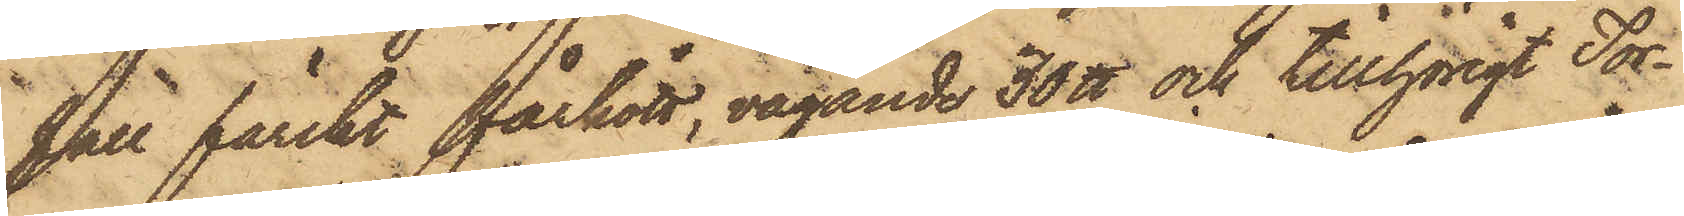fall färskt fårkött, vägande 30 ℔ och tillhörigt Tor¬
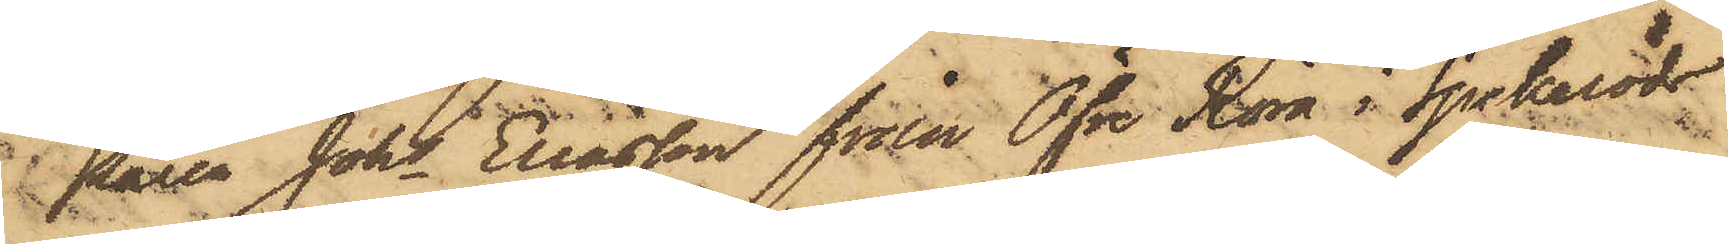paren Johan Eliasson från Öfre Röra i Spekeröds
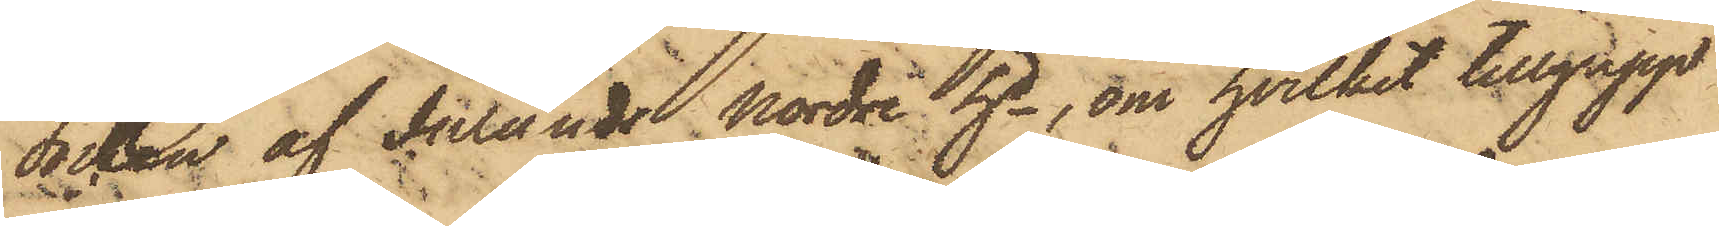Socken af Inlands Nordre hd, om hvilket tillgrepp
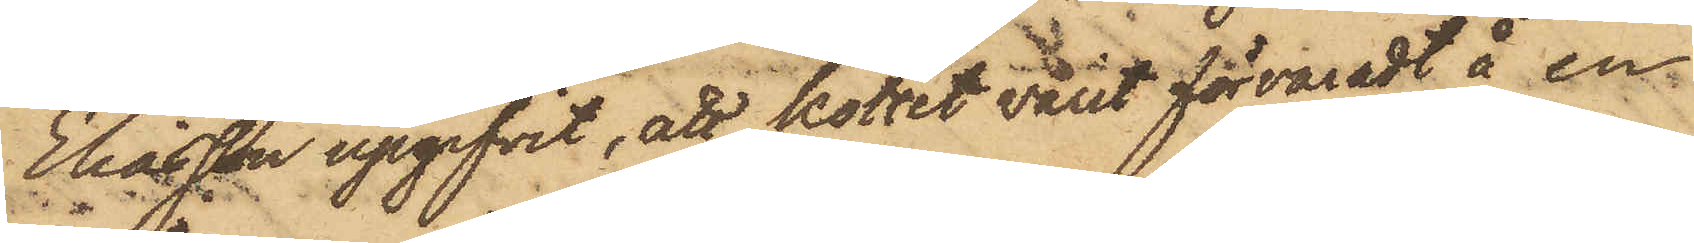Eliasson upgifvit, att köttet varit förvaradt å en
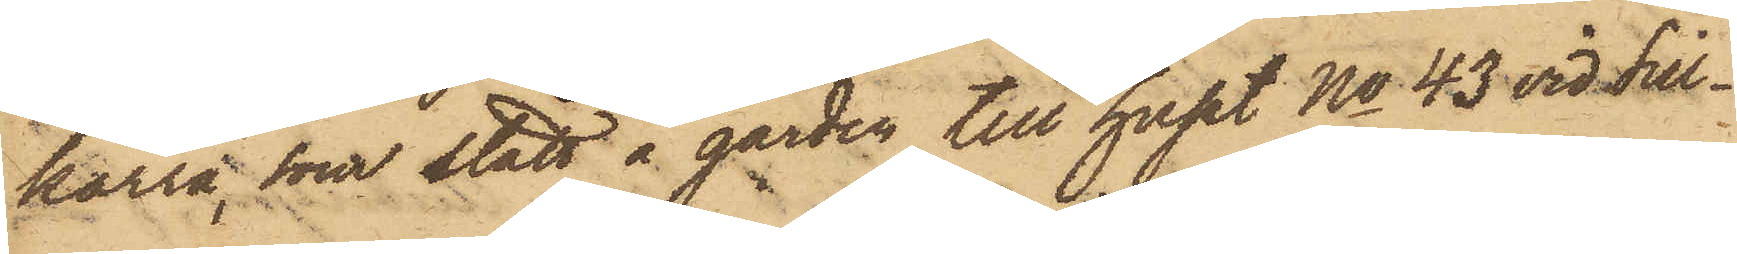kärra, som stått å gården till huset No 43 vid Sill¬
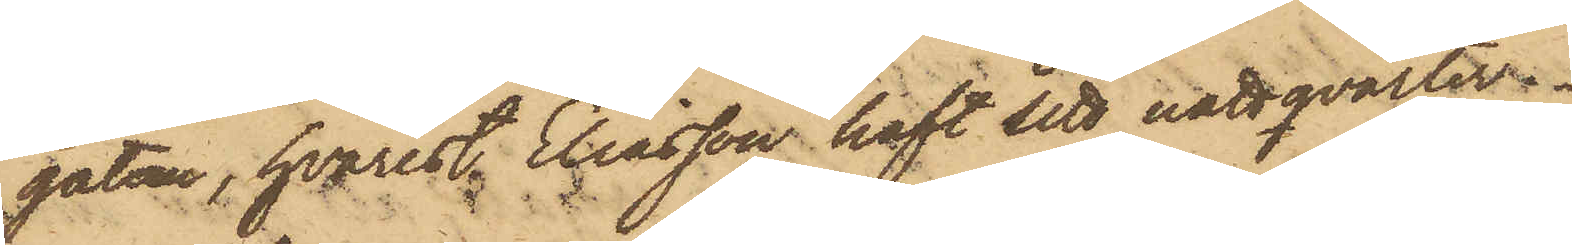gatan, hvarest Eliasson haft sitt nattqvarter.
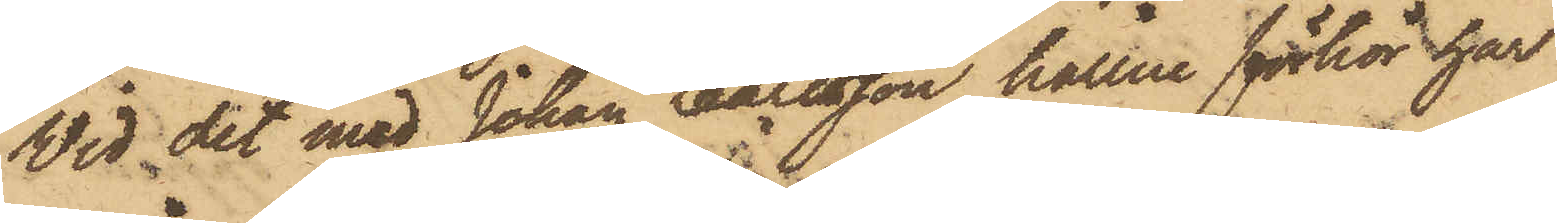Vid det med Johan Carlsson hållne förhör har
